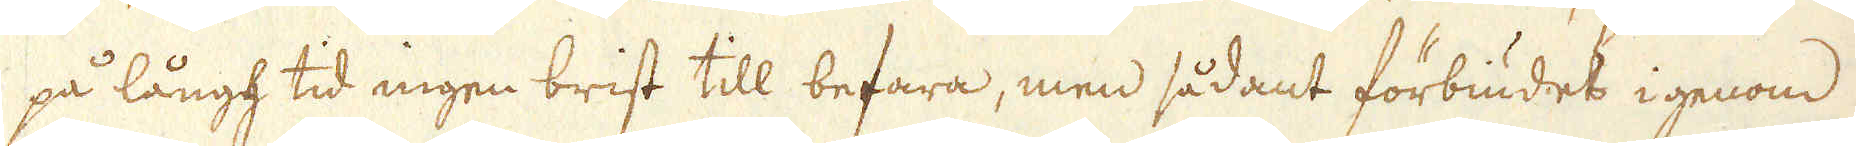på långh tid ingen brist till befara, men sådant förbiudet igenom
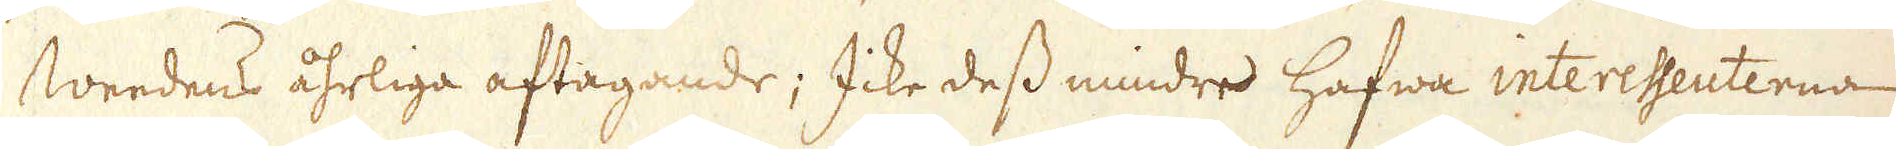Weedens åhrliga aftagande; Icke dess mindre hafwa interessenterna
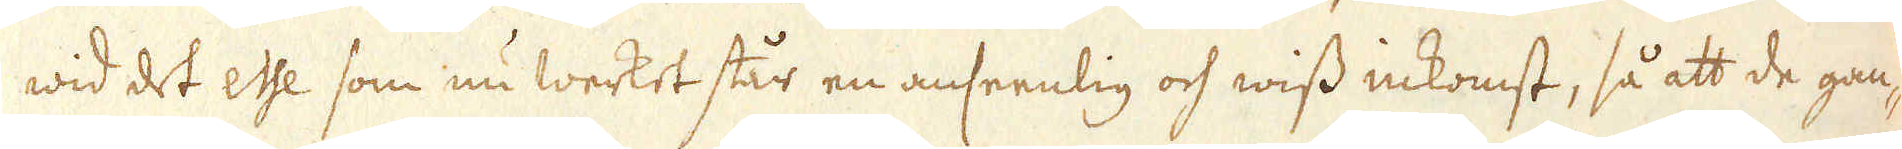wid det esse som nu werket står en anseenlig och wiss inkomst, så att de gan-
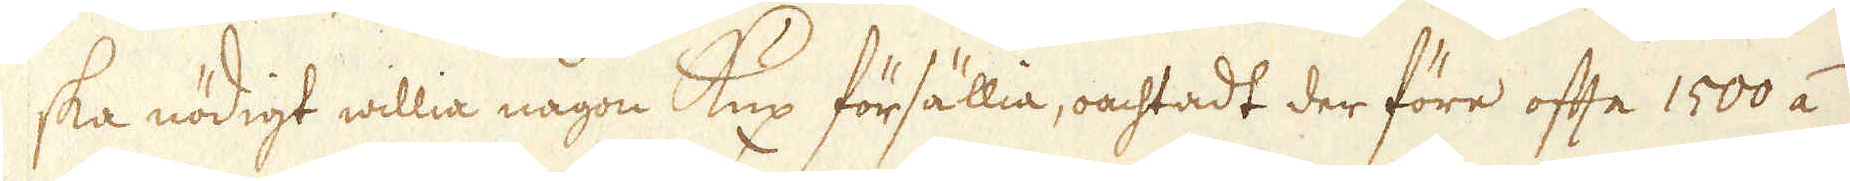ska nödigt willia någon Kux försällia, oachtadt der före ofta 1500 á
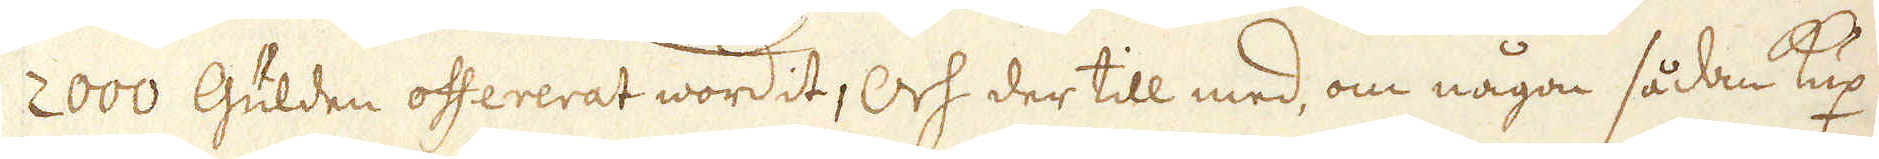2000 Gülden offererat wordit, Och der till med, om någon sådan kux
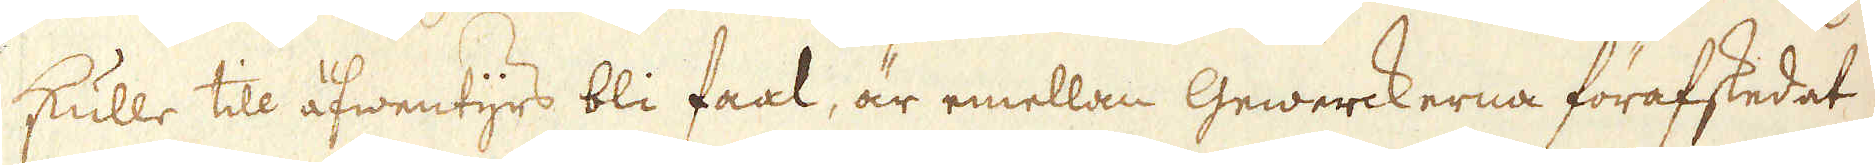skulle till äfwentyrs bli faal, är emellan Gewerckerna förafskedat
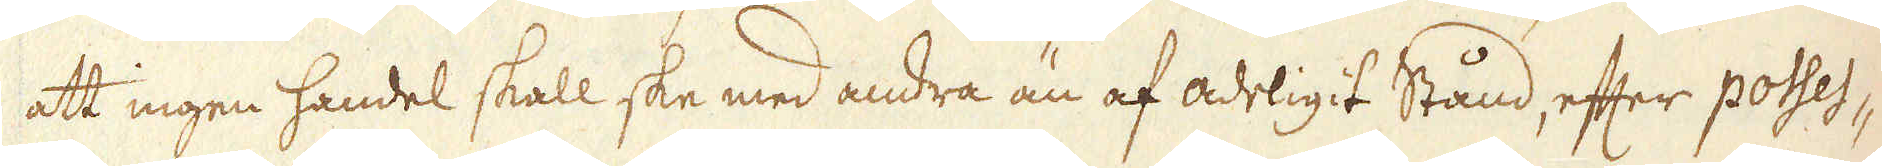att ingen handel skall ske med andra än af adeligit Stånd, efter posses-
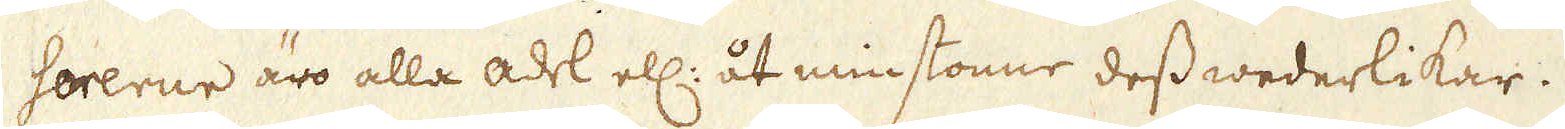sorerne äro alla adel ell: åt minstonne dess wederlikar.
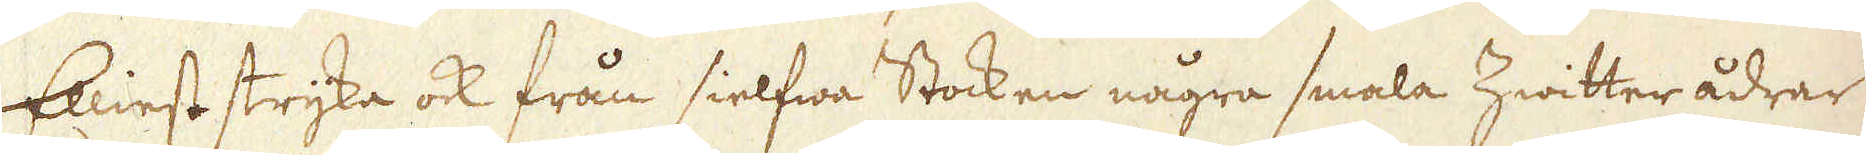Elliest stryka ock från sielfwa Stocken några smala Zwitter ådrar
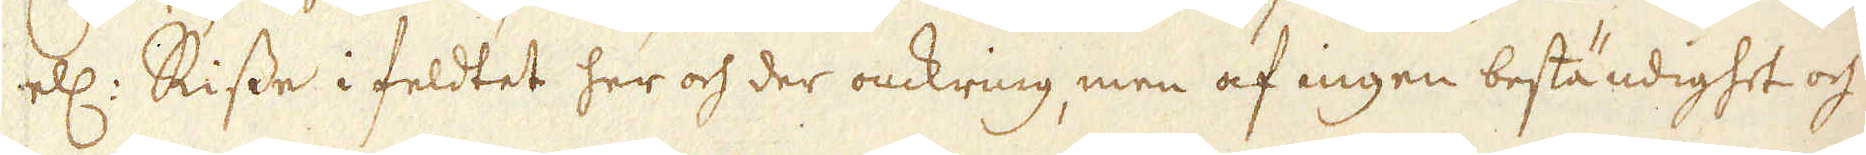ell: Risse i feldtet her och der omkring, men af ingen beständighet och
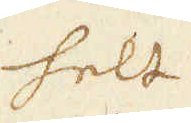helt
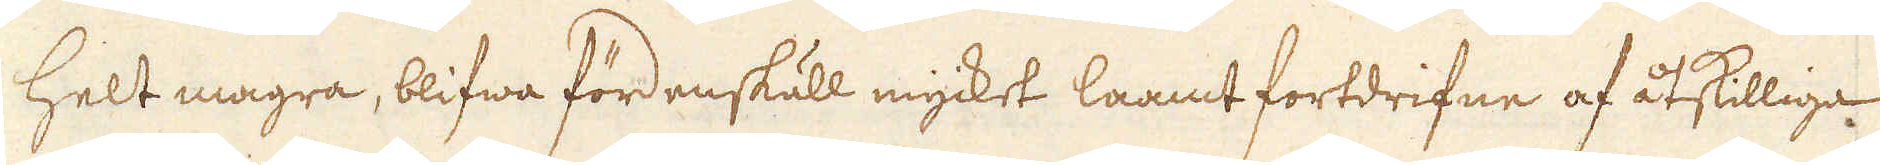helt magra, blifwa fördenskull mycket laamt fortdrifne af åtskilliga
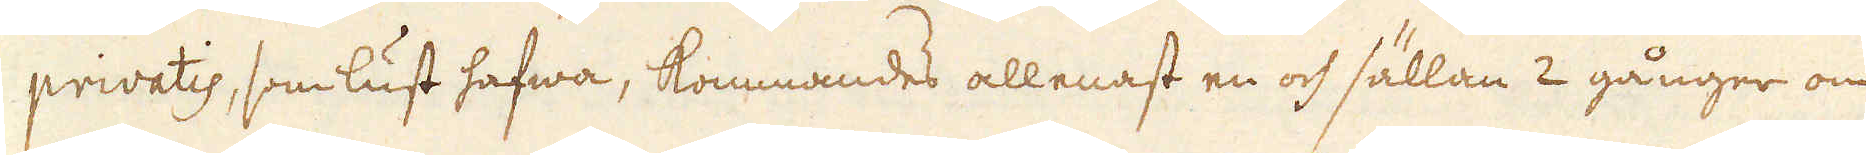privatis, som lust hafwa, kommandes allenast en och sällan 2 gånger om
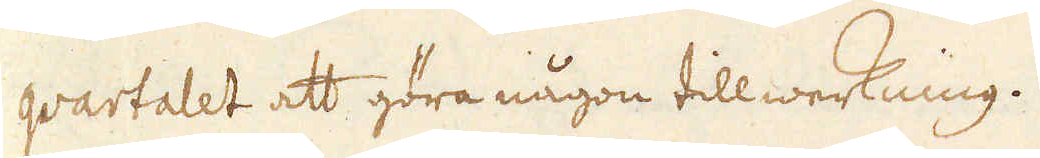qvartalet att göra någon tillwerkning.
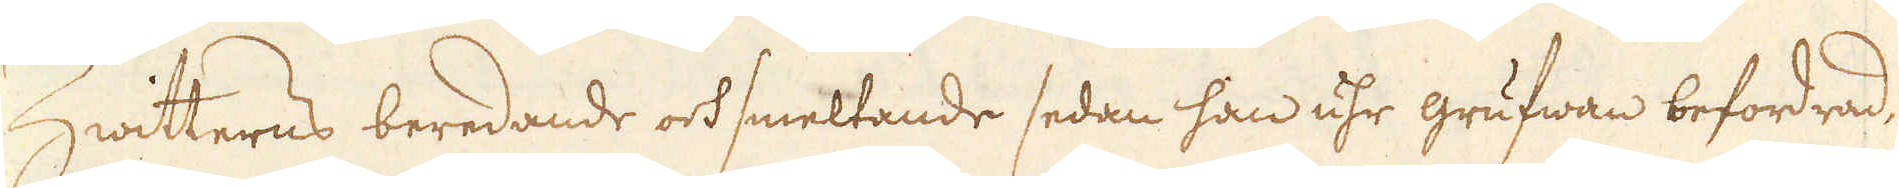Zwitterns beredande ock smeltande sedan han uhr grufwan befordrad,
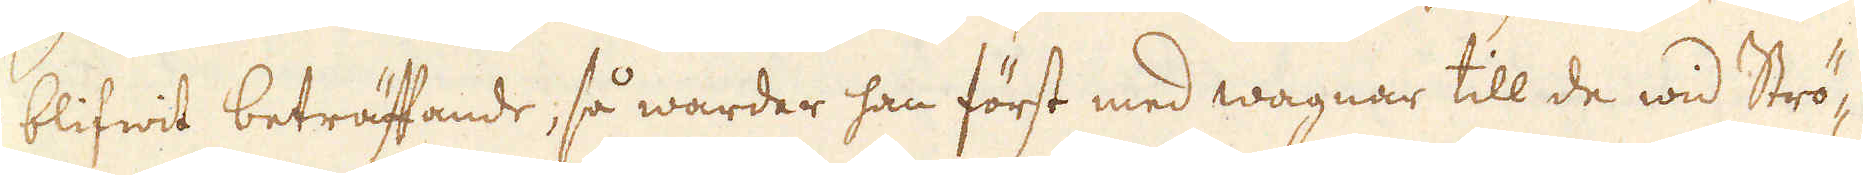blifwit beträffande, så warder han först med wagnar till de wid Strö-
